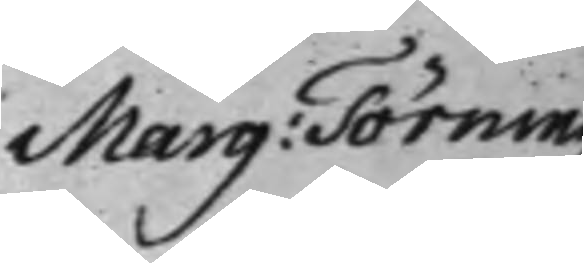Marg: Törning 
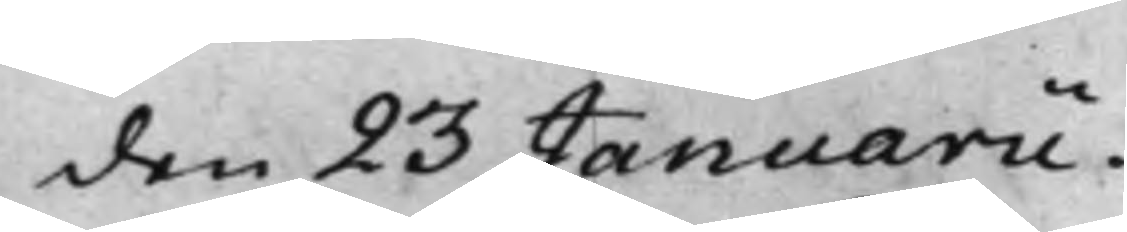den 23 Januarii.
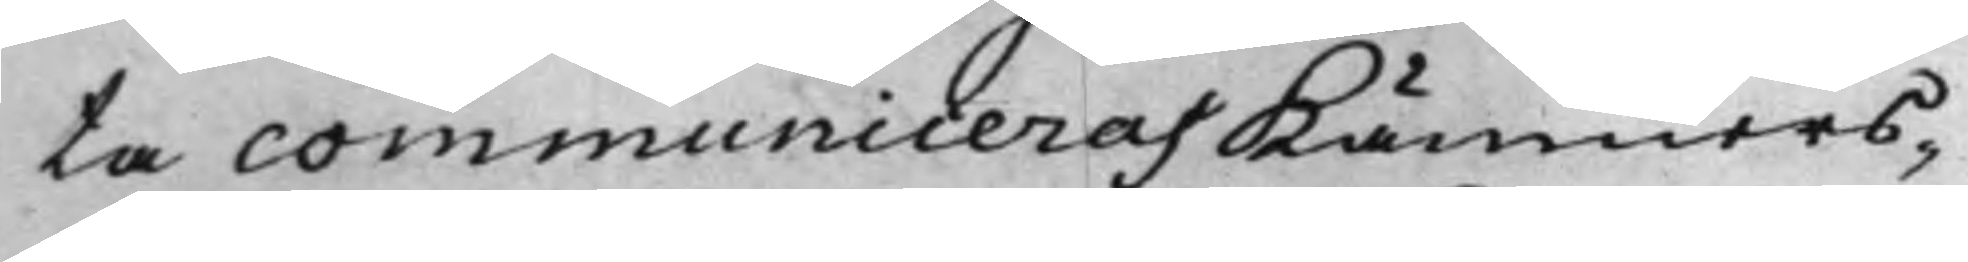ta communiceras Kämners¬
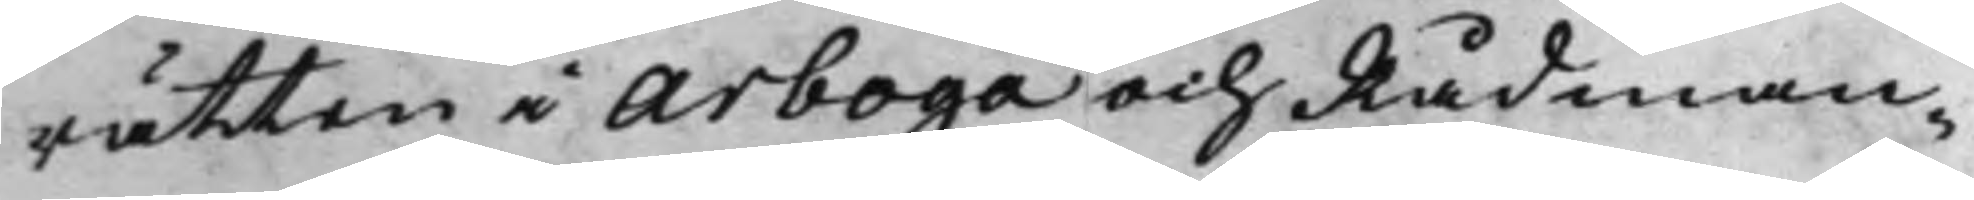rätten i Arboga och Rådman¬
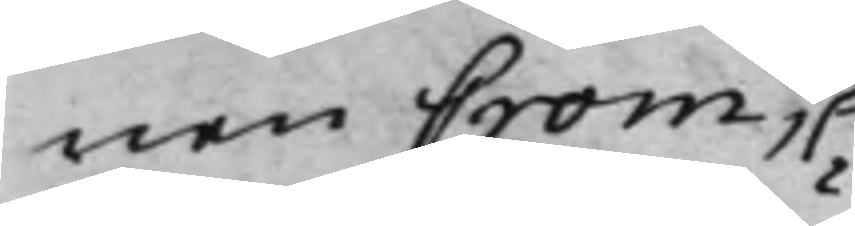nen Crom,
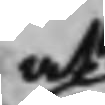at
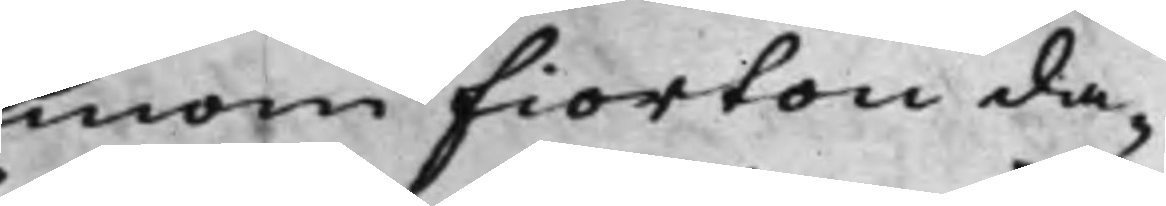inom fiorton da¬
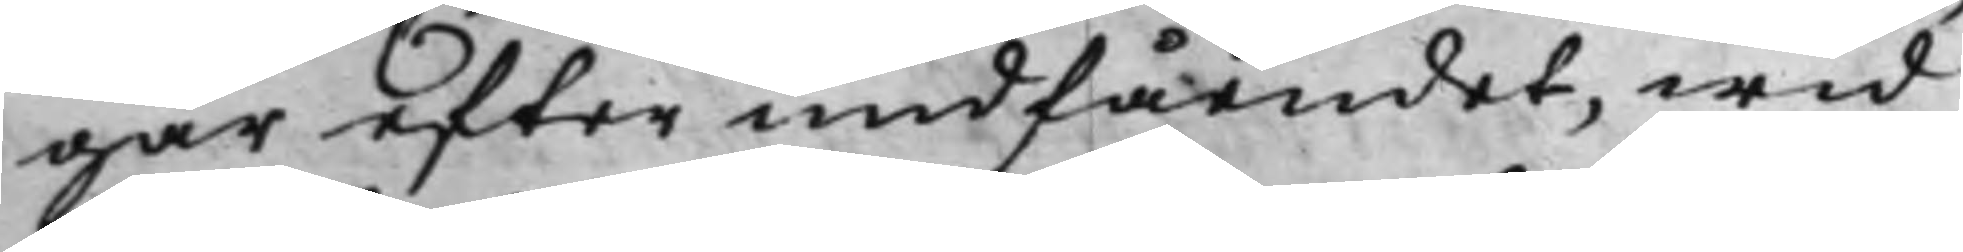gar efter undfåendet, wid
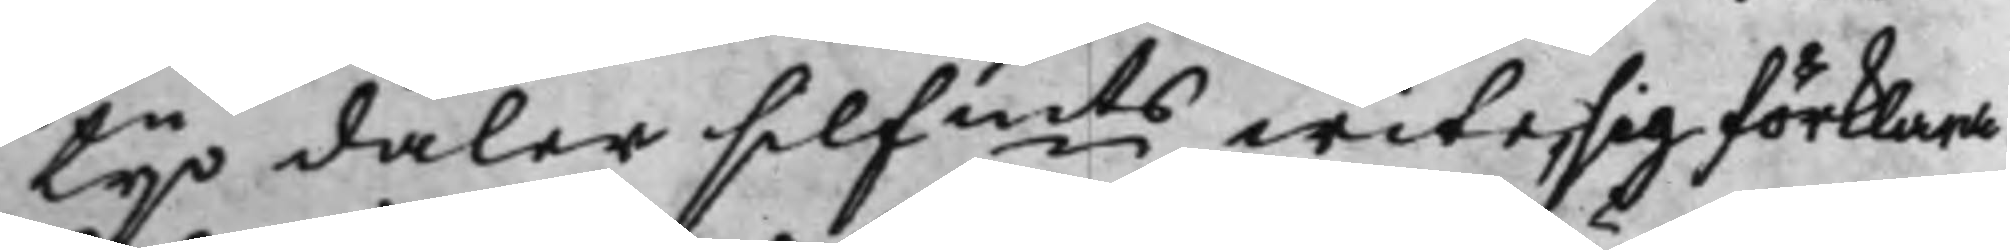tijo daler Silfmts wite, sig förklara. 
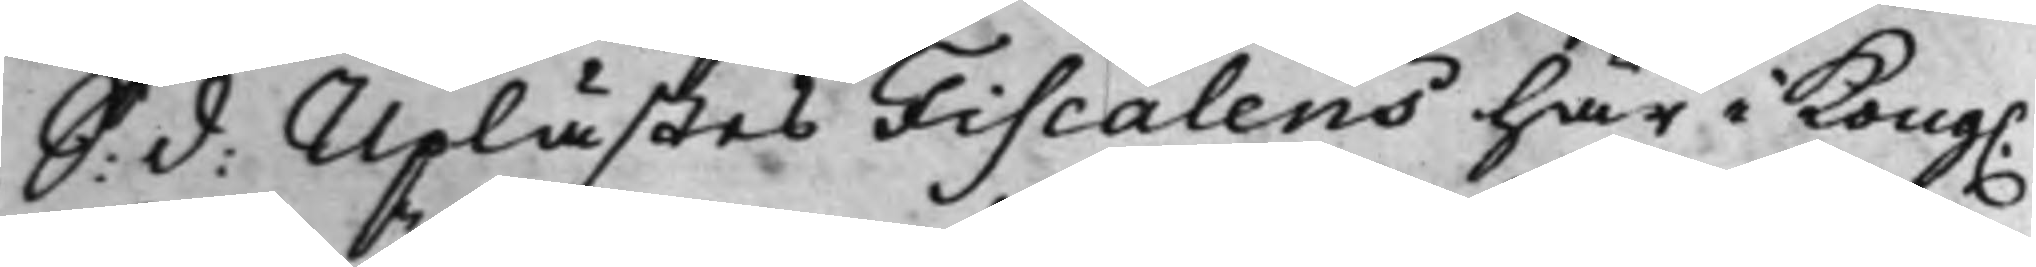S: d: Uplästes Fiscalens här i Kong. 
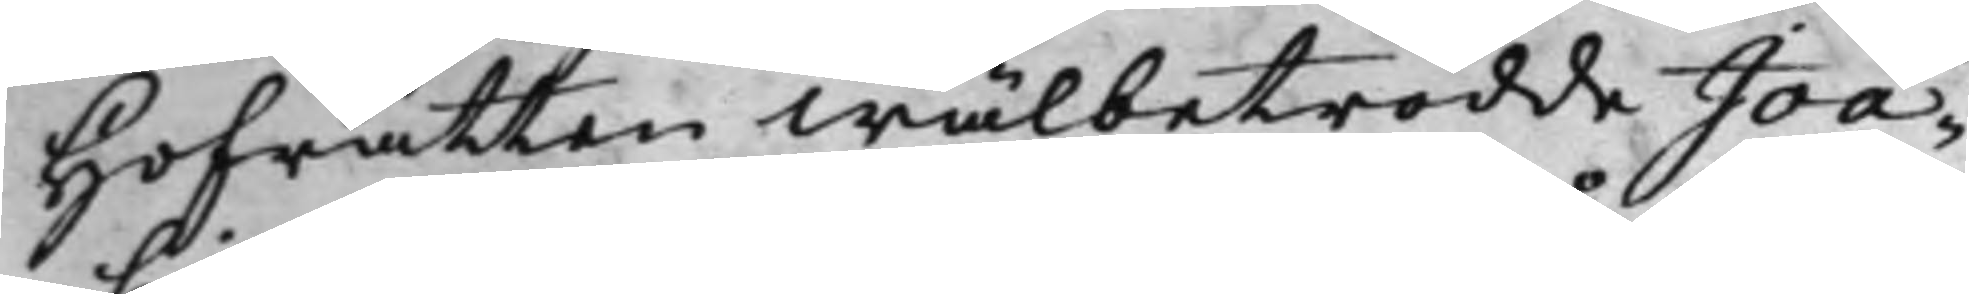Hofrätten Wälbetrodde Joa¬
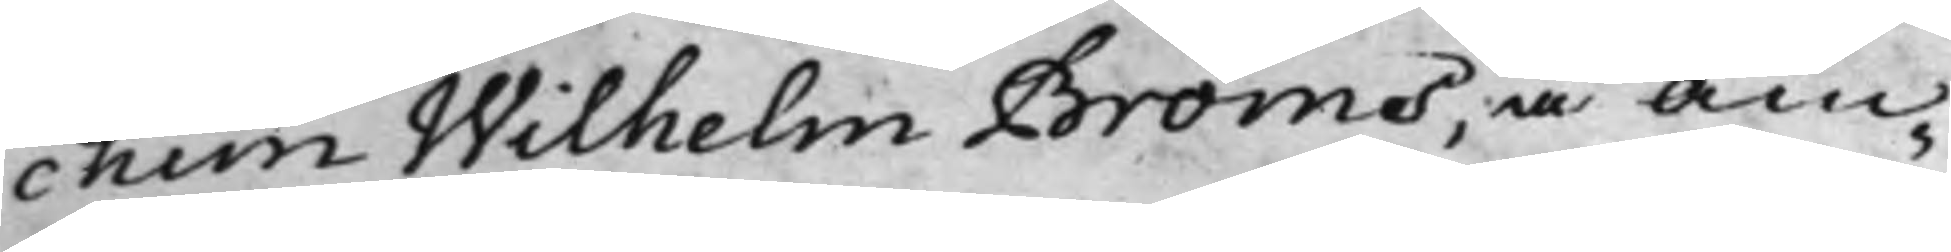chim Wilhelm Bröms, å Äm¬
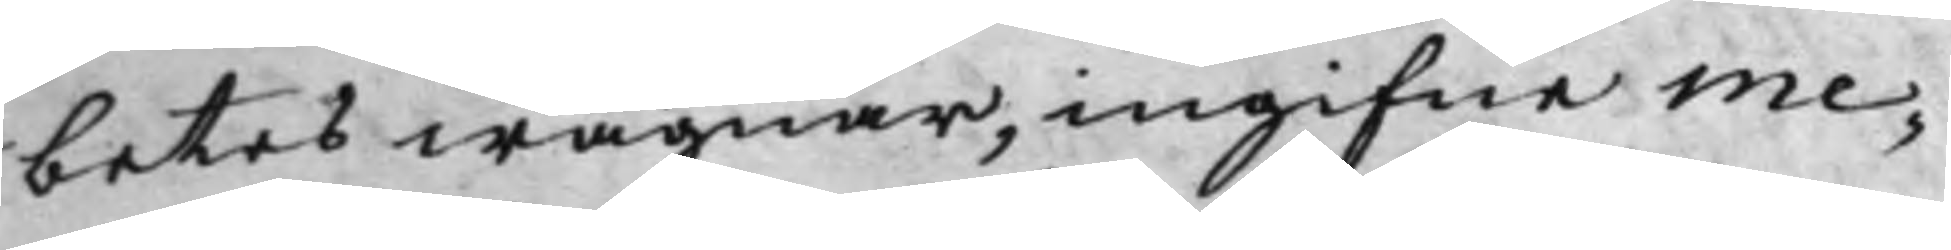betes wägnar, ingifne Me¬
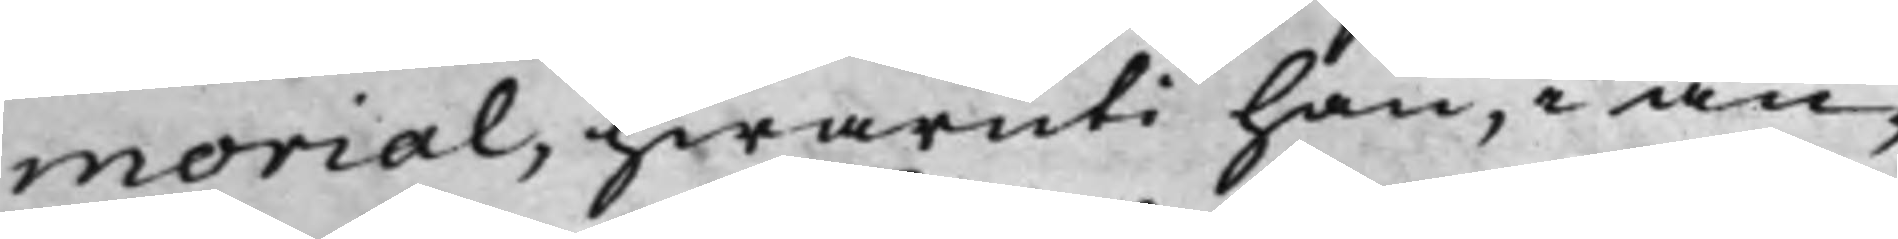morial, hwaruti han, i an¬
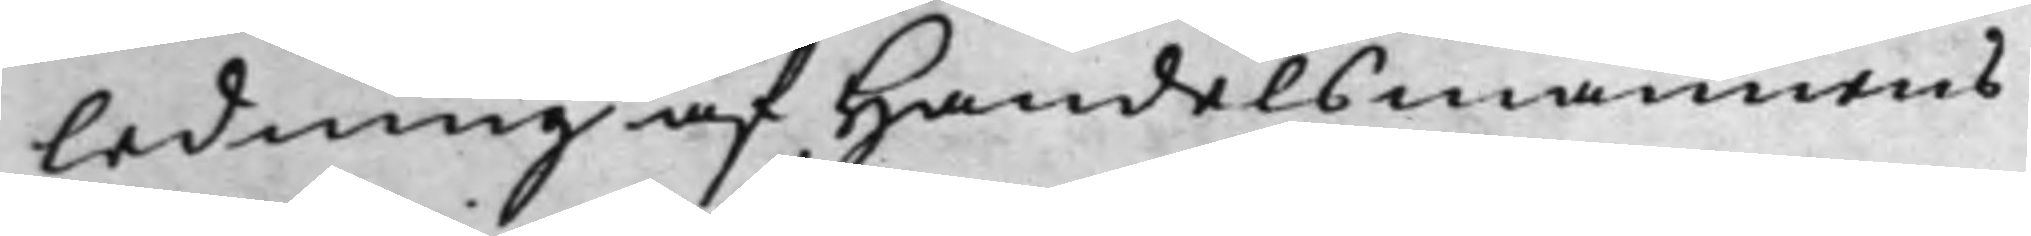ledning af Handelsmannens
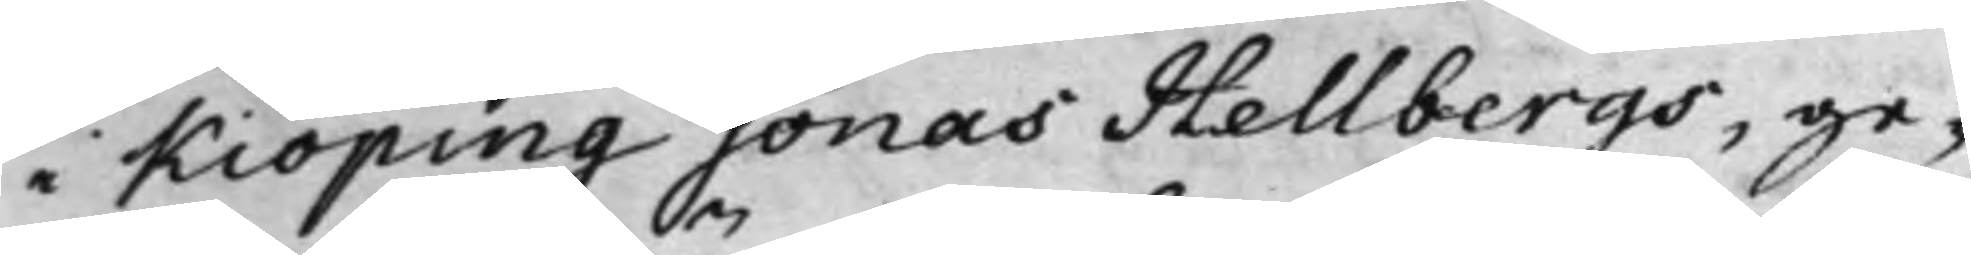i Kiöping Jonas Hellbergs, ge¬
